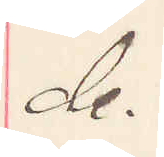de.
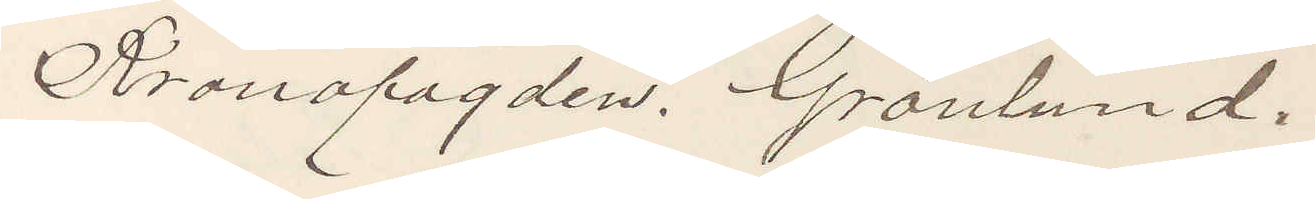Kronofogden. Grönlund.
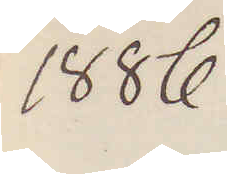1886
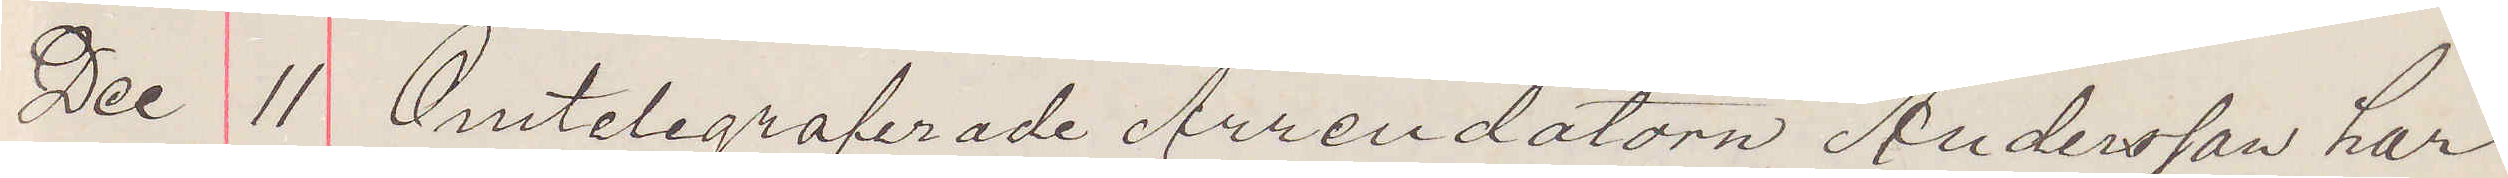Dec 11 Omtelegraferade Arrendatorn Andersson har
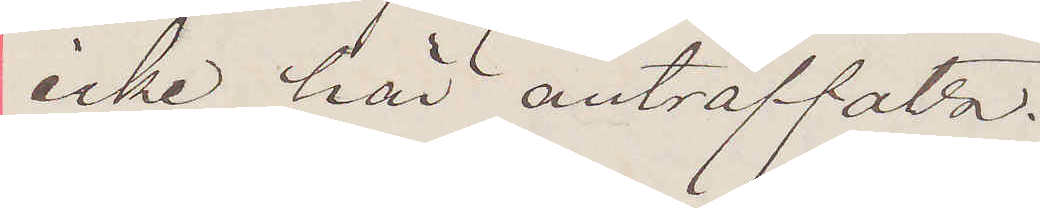icke här anträffats.
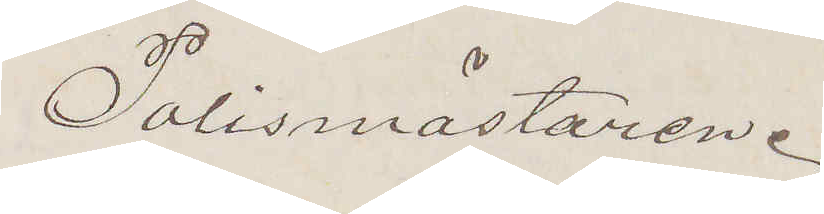Polismästaren.
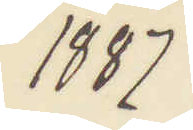1887
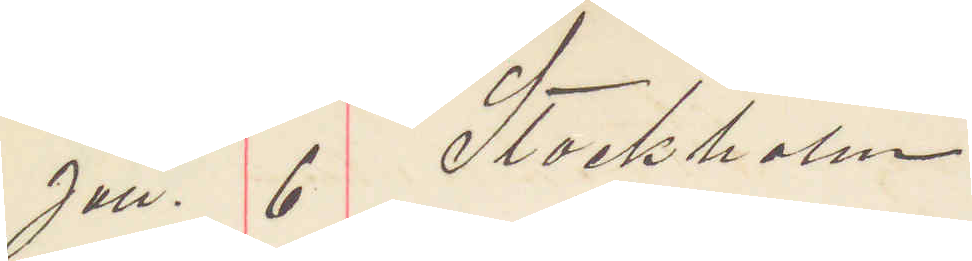Jan. 6 Stockholm.
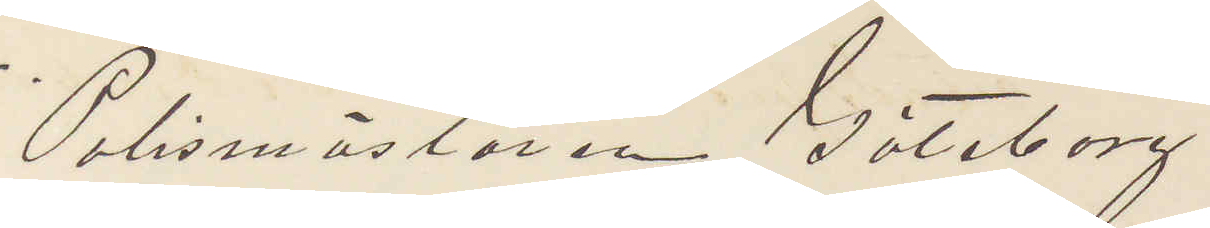Polismästaren Göteborg
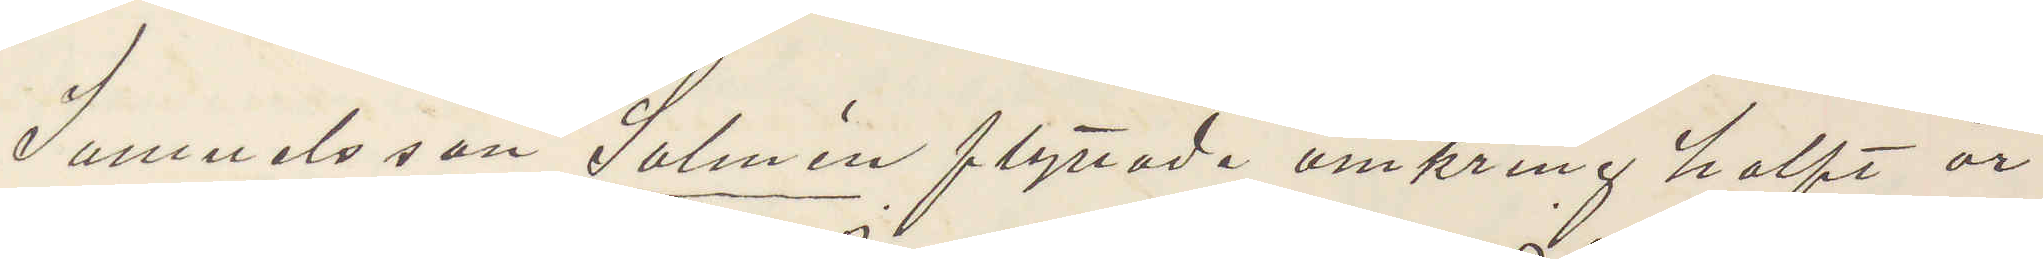Samuelsson Salmén flyttade omkring halft år
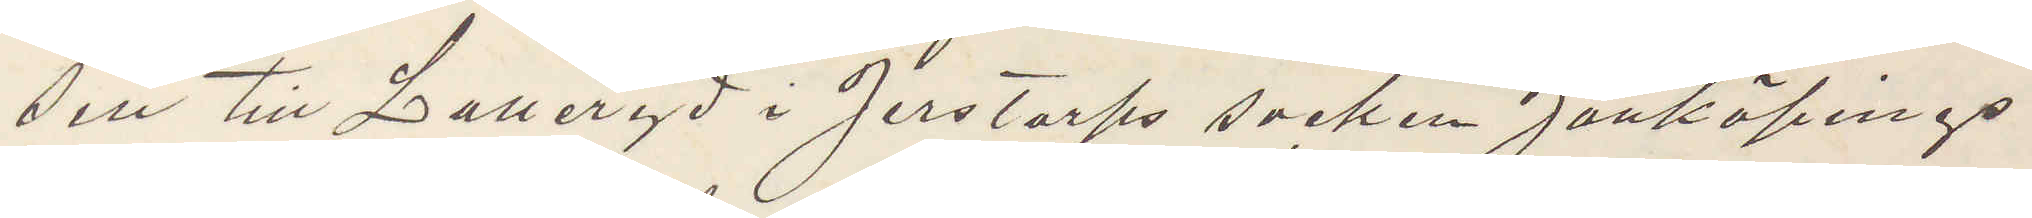sen till Laneryd i Jerstorps socken Jönköpings
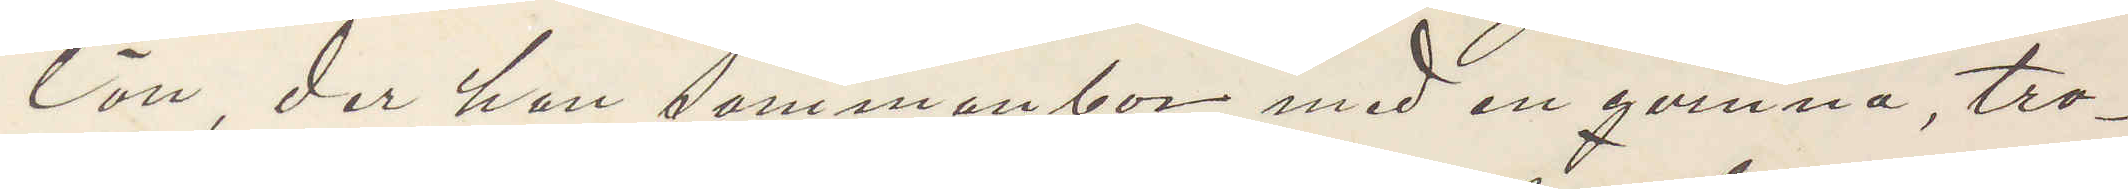län, der han sammanbor med en qvinna, tro¬
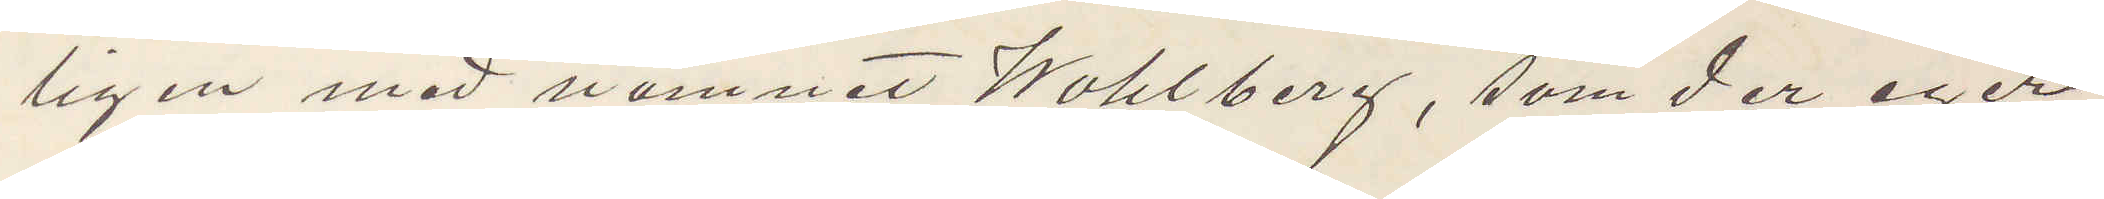lig en med namnet Wahlberg, som der eger
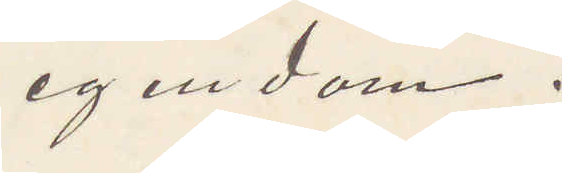egendom.
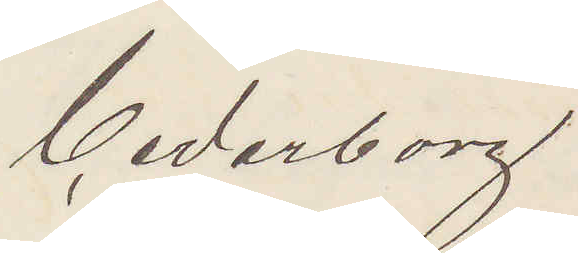Cederborg
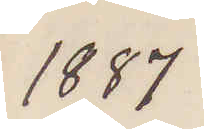1887
